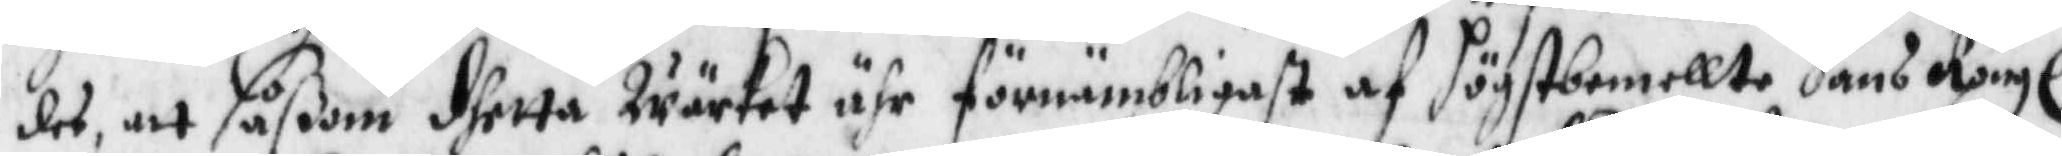des, att såßom dhetta Wärker ähr förnämbligast af högstbemellte Hans Kongl:
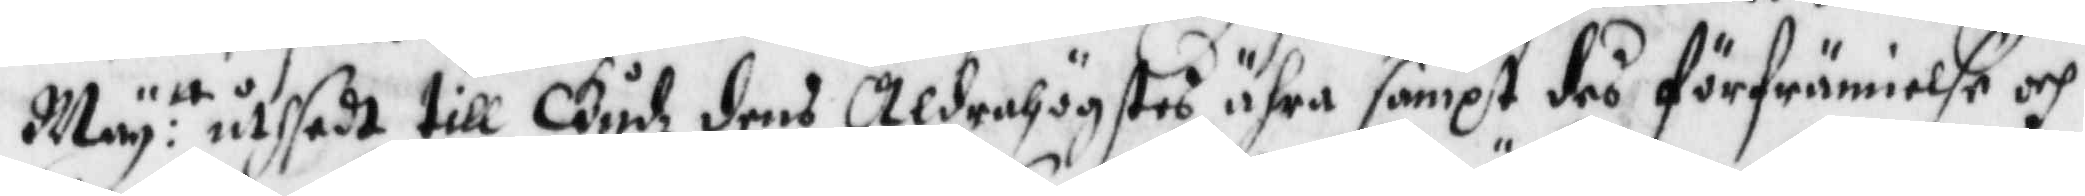May:tt utsedt till Gudh dens Aldrahögstes ähra sampt deö förfrämielse och
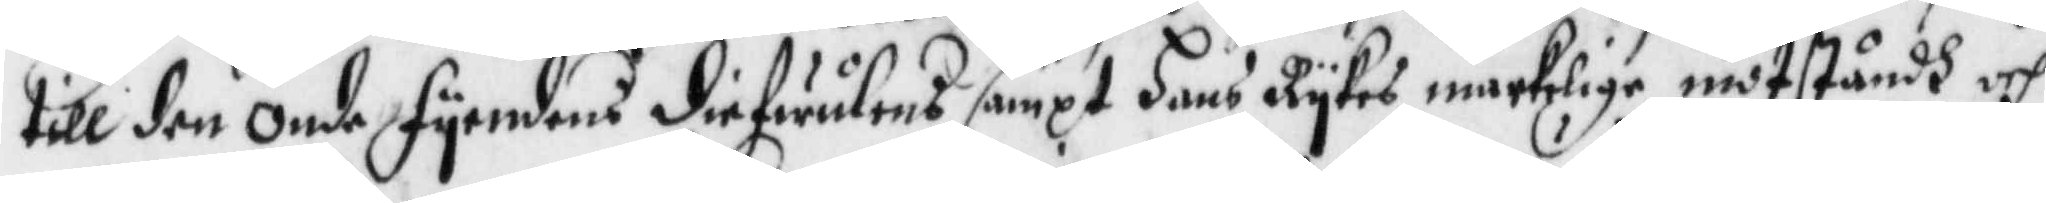till den onde fyendens siefwulens sampt hans Rykes märkelige motståndh och
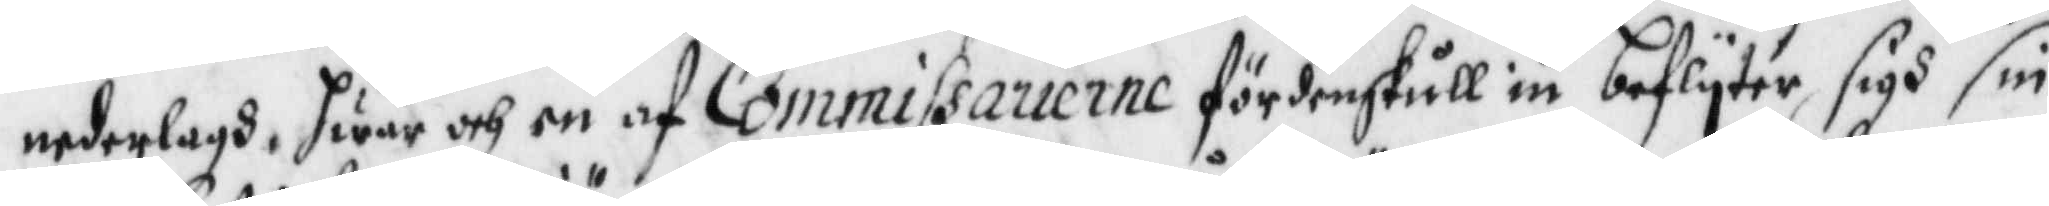nedelagh, hwar och en af Commissarierne fördenskull iu beflyter sigh sin
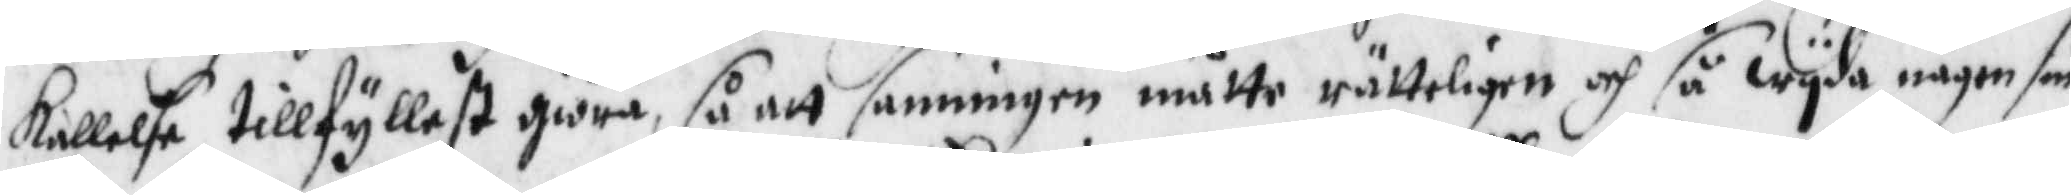kallelse tillfyllest giöra, så att sanningen måtte rätteligen och så wyda någon sin
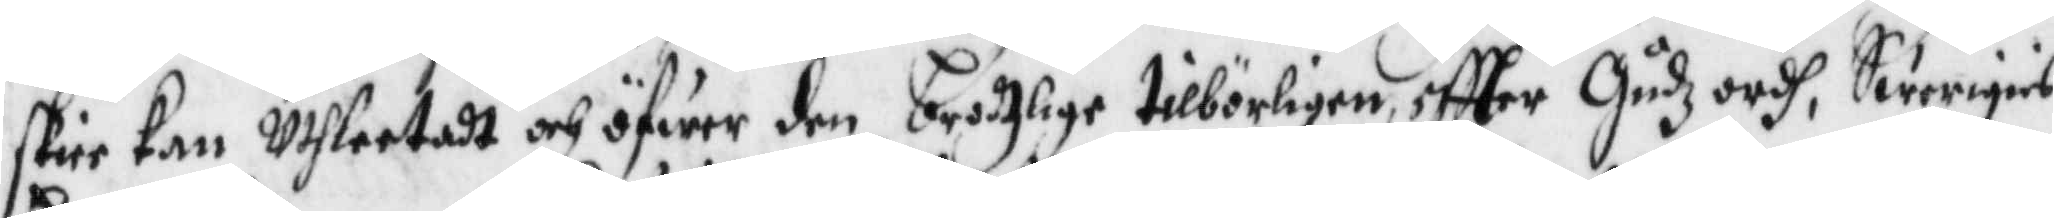skiee kan Uthleetadt och öfwer den brotzlige tillbörligen, eftter Gudz ordh, Swerigies
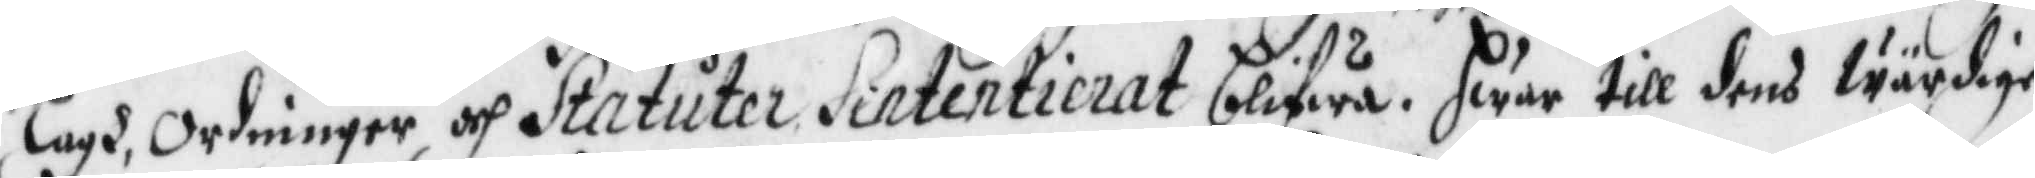Lagh, Ordninger och Statuter Sintentierat blifwa. Hwar till dens Wärdige
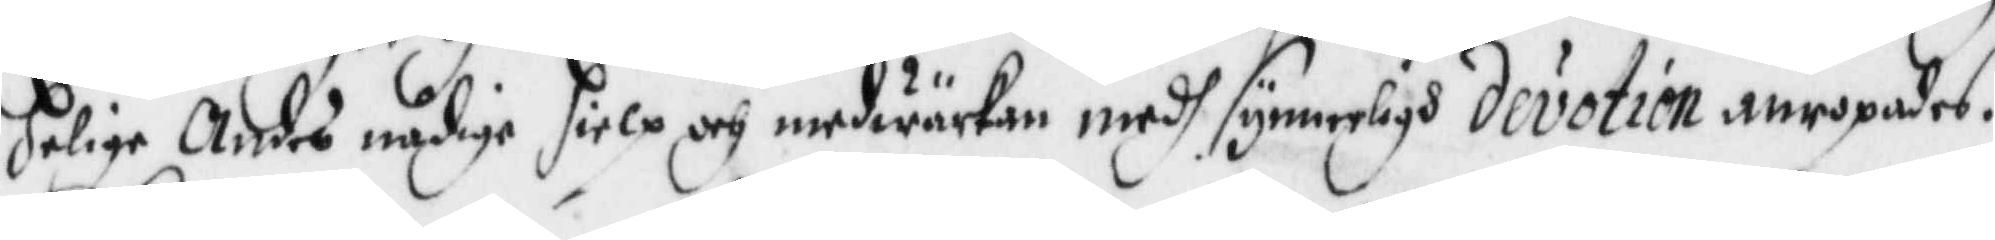Helige Andes nådige hielp och medwärkan medh synnerligh devition anropades.
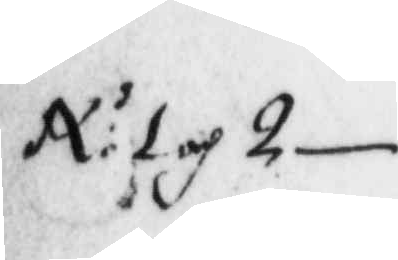Nr 1 och 2
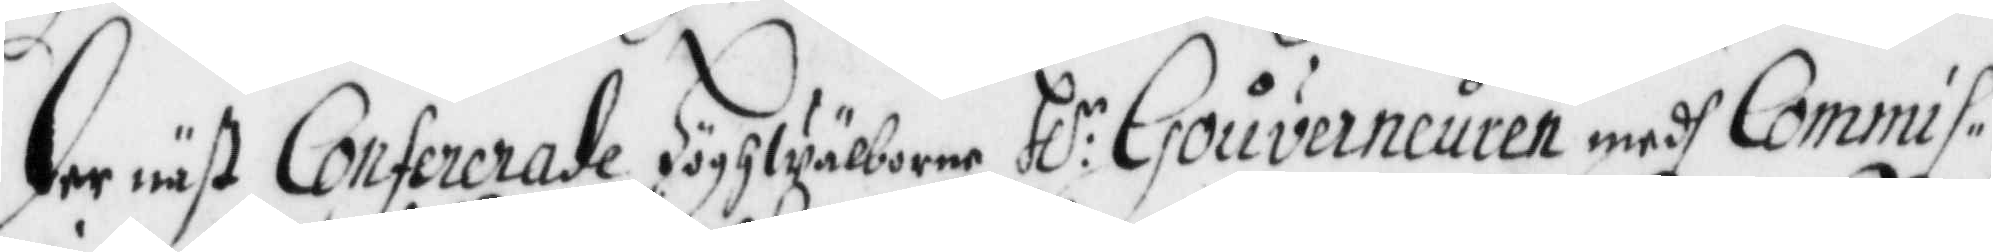Dernäst Confererade Högwälborne H:r Gouverneuren medh Commis¬
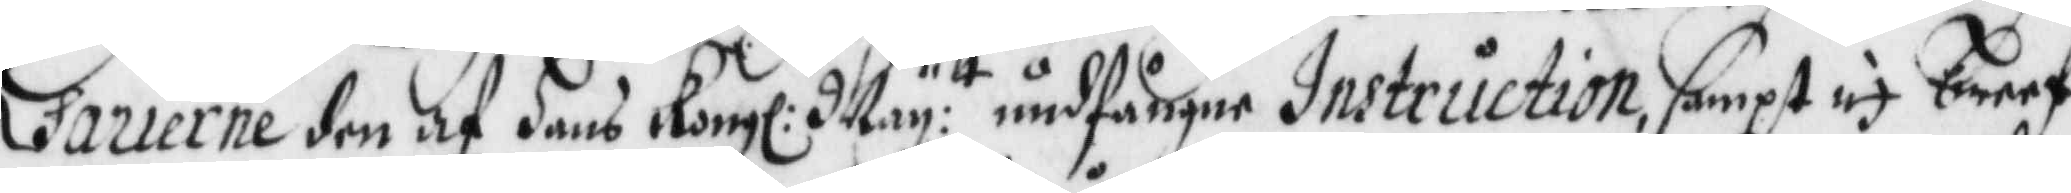sarierne den af Hans Kongl: May:tt undfångne Instruction, sampt ej breef
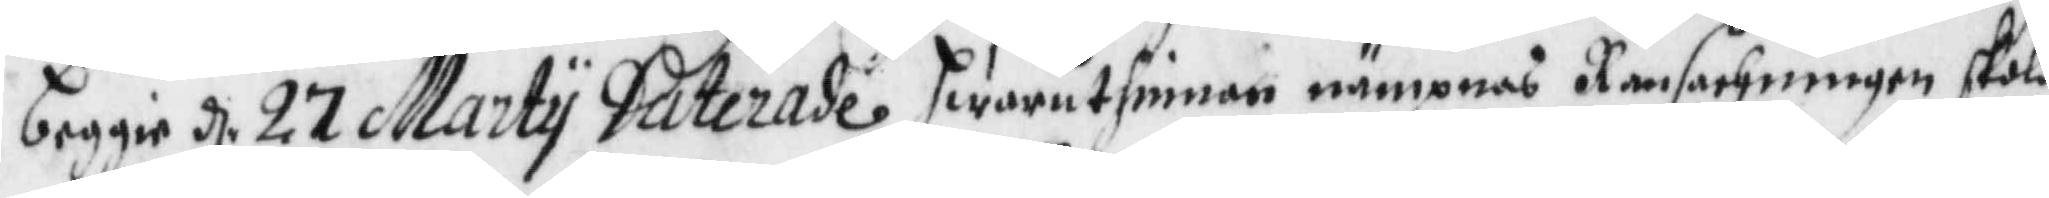beggie d. 27 Marty Daterade hwaruthinnan nämpnas Ransachningen skola
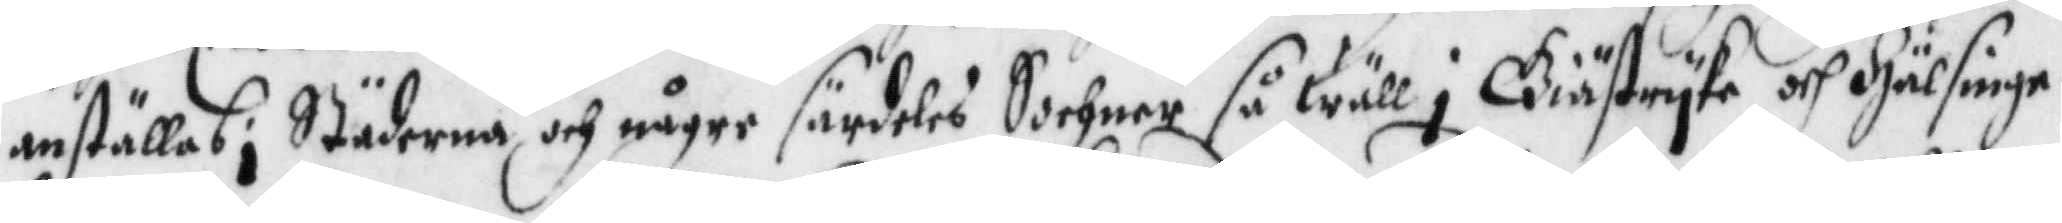anställas i Städerna och någre särdeles Sochner så wäll i Giästryke och Hälsinge¬
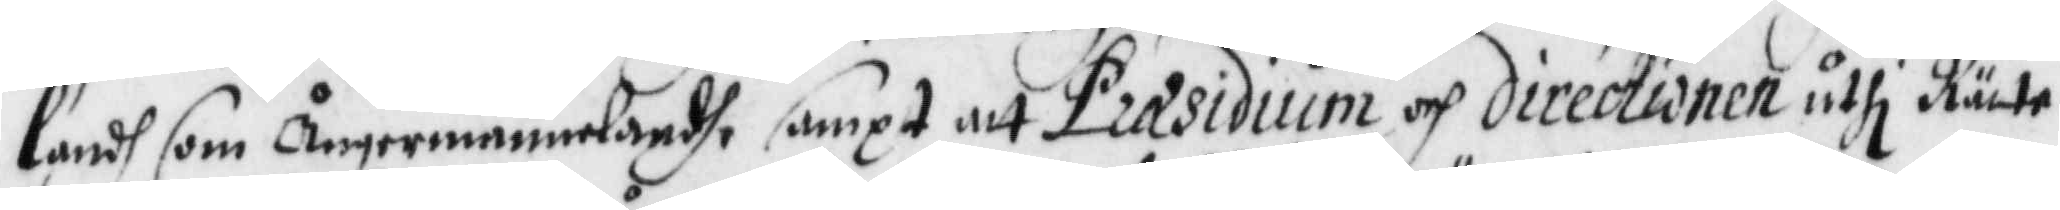landh som Ångermannelandh, sampt att Præsidium och directionen uthi Rätte¬
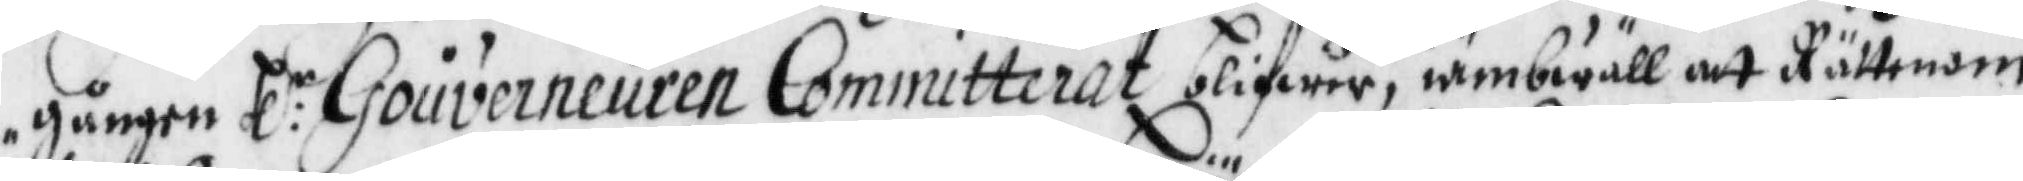gången Hl:r Gouverneuren Committerat blifwer, iämbwäll att Rättenom
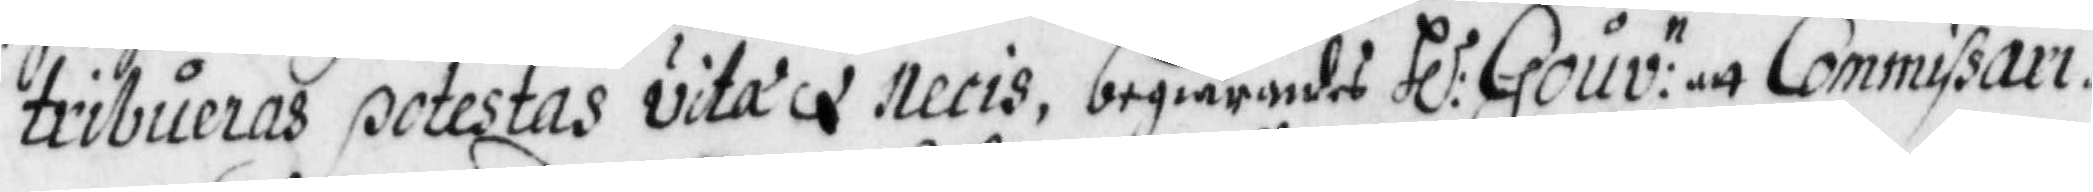tribueras potestas vita x necis, begiärandes Hl:r Gouv:n att Commissari¬
